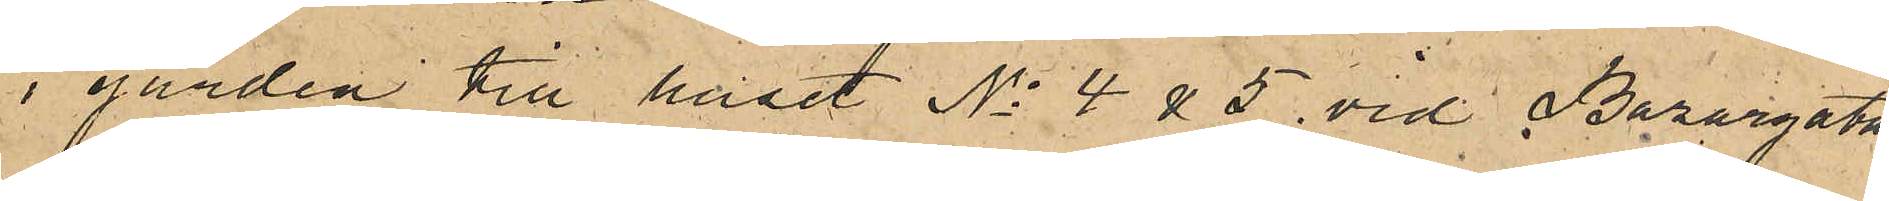i gården till huset No 4 & 5 vid Bazargatan,
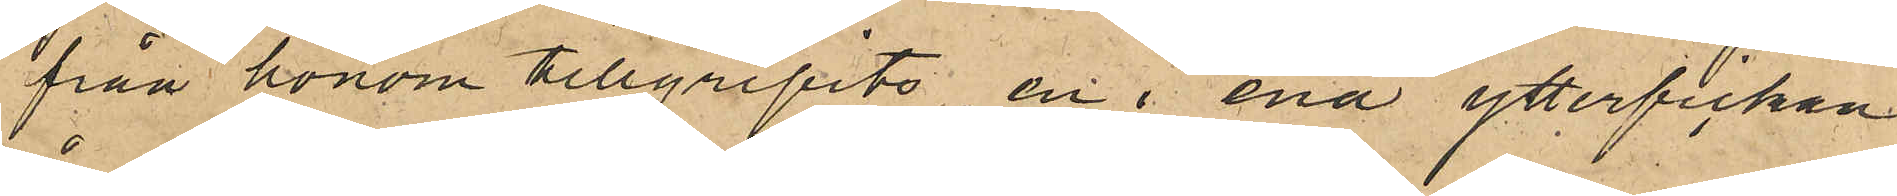från honom tillgripits en i ena ytterfickan
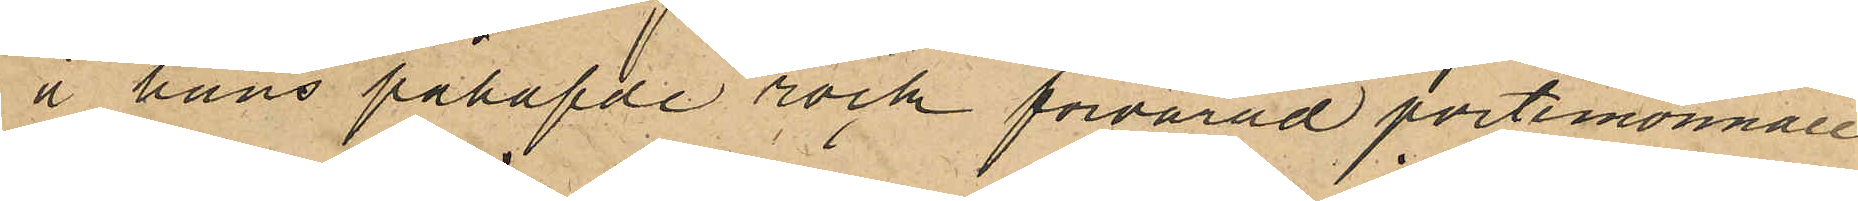å hans påhafde rock förvarad portmonnaie
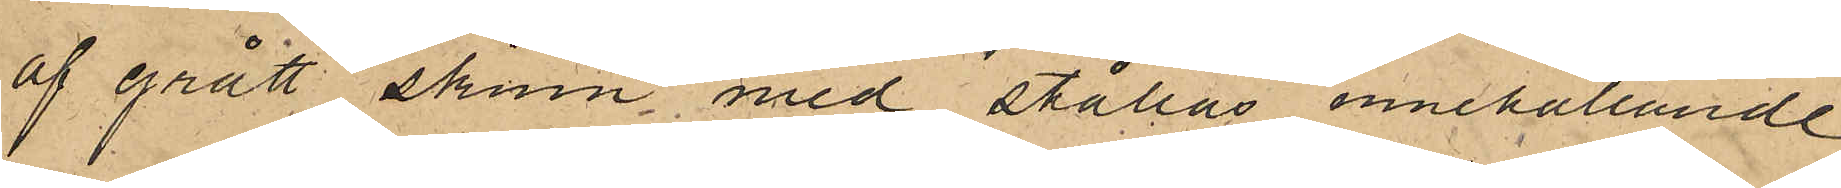af grått skinn med stållås innehållande
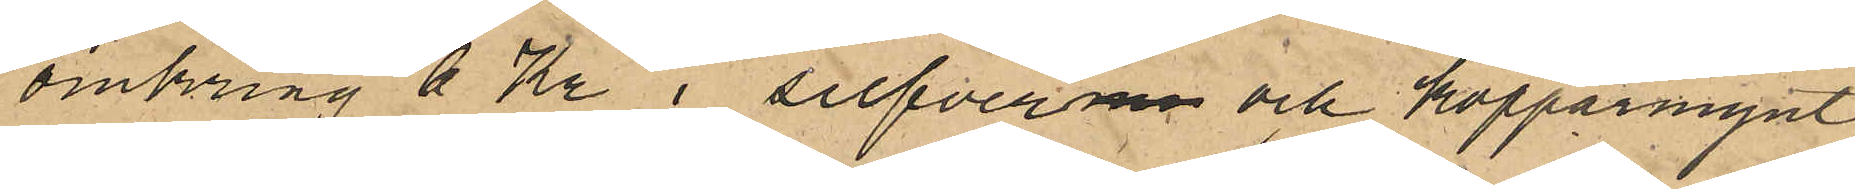omkring 6 Kr i silfverm och kopparmynt,
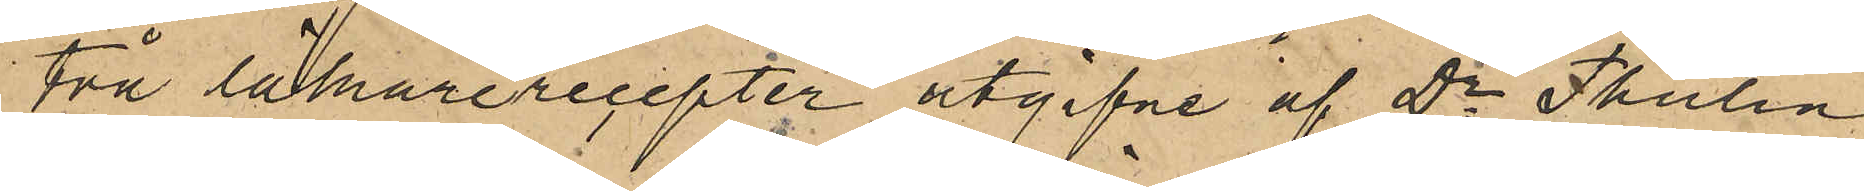Två läkarerecepter utgifne af Dr Thulin
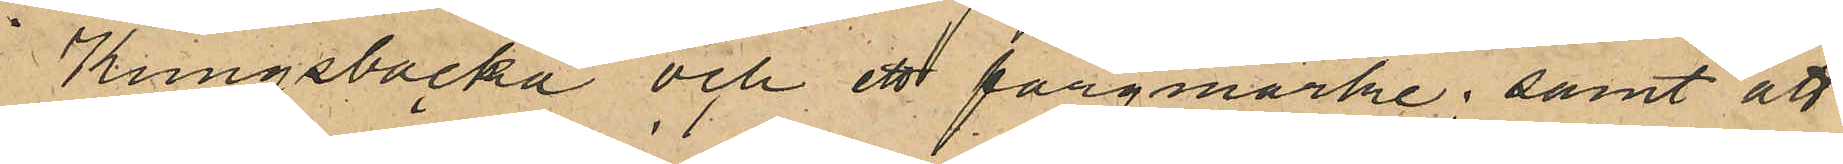i Kungsbacka och ett färgmärke; samt att
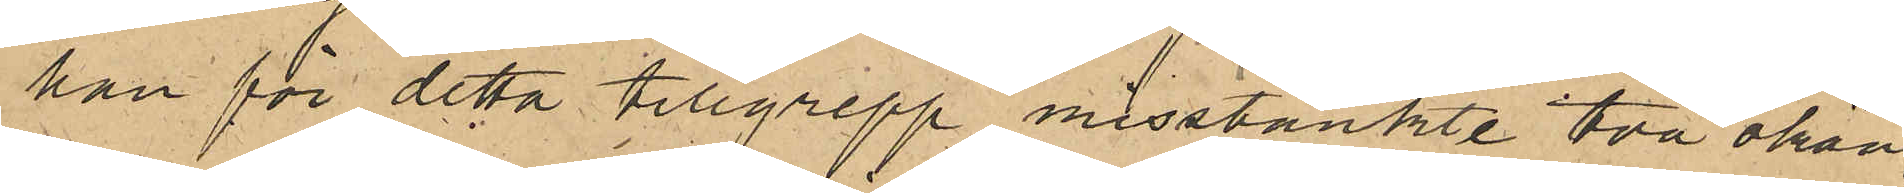han för detta tillgrepp misstänkte två okän¬
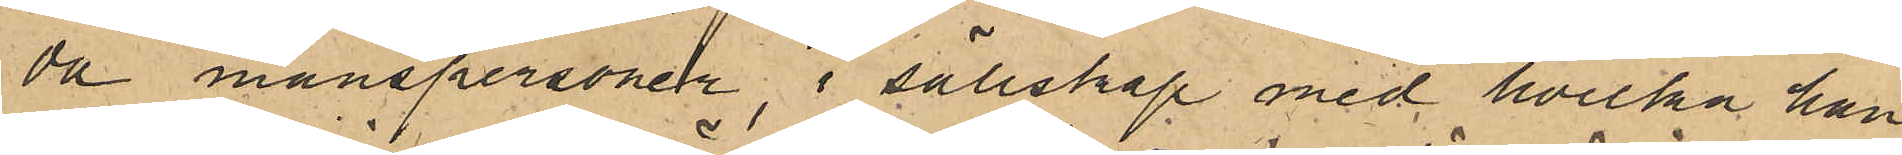da manspersoner, i sällskap med hvilka han
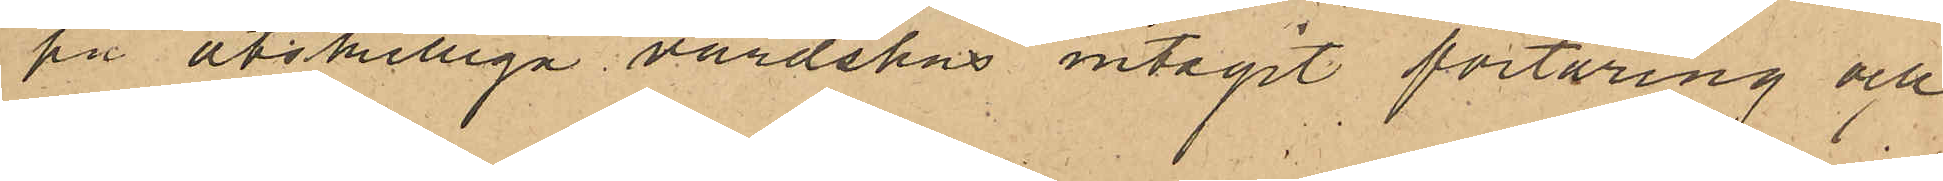på åtskilliga värdshus intagit förtäring och
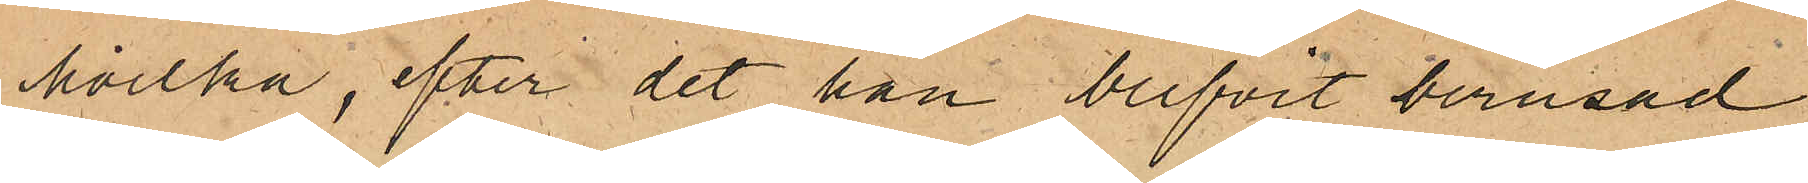hvilka, efter det han blifvit berusad,
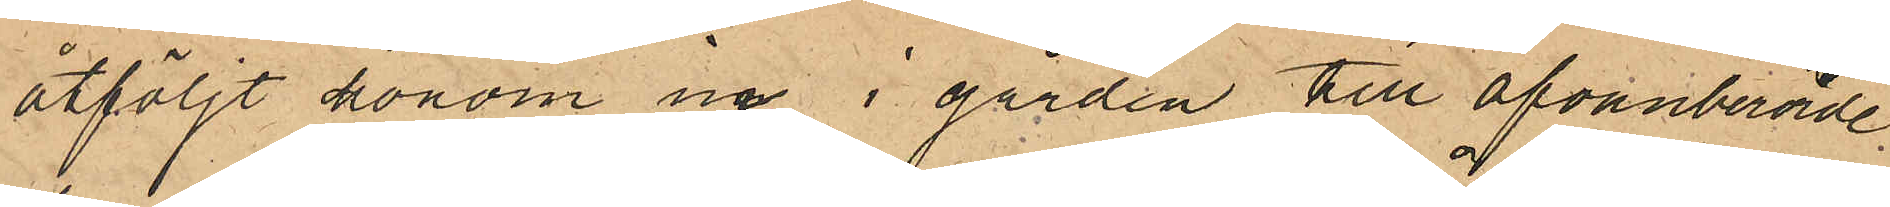åtföljt honom in i gården till ofvanberörde 
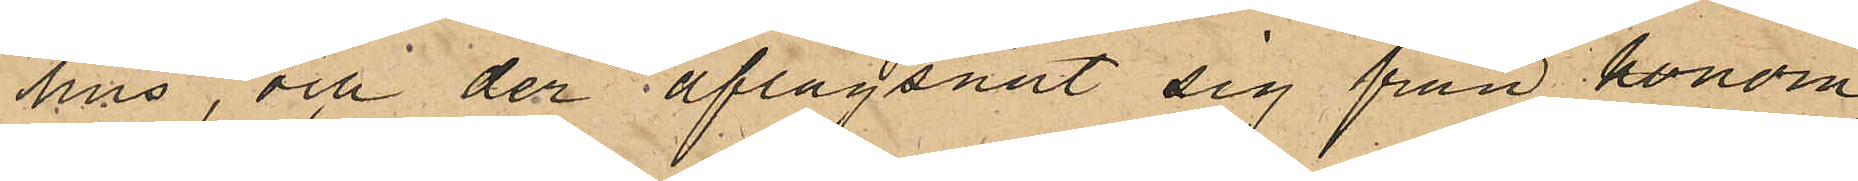hus, och der aflägsnat sig från honom,
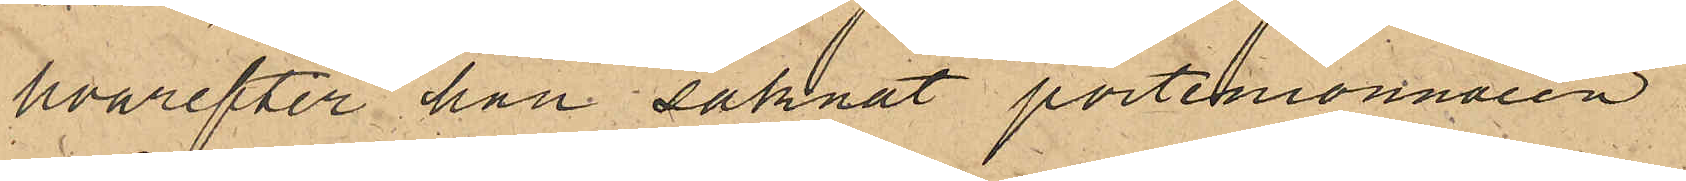hvarefter han saknat portmonnaien.
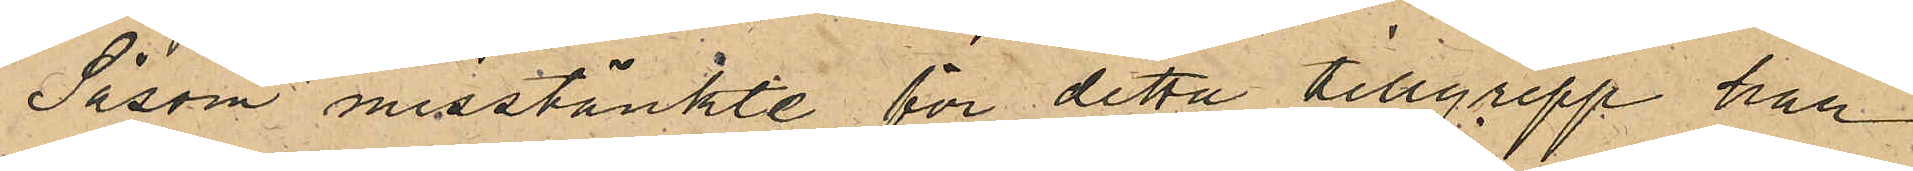Såsom misstänkte för detta tillgrepp har
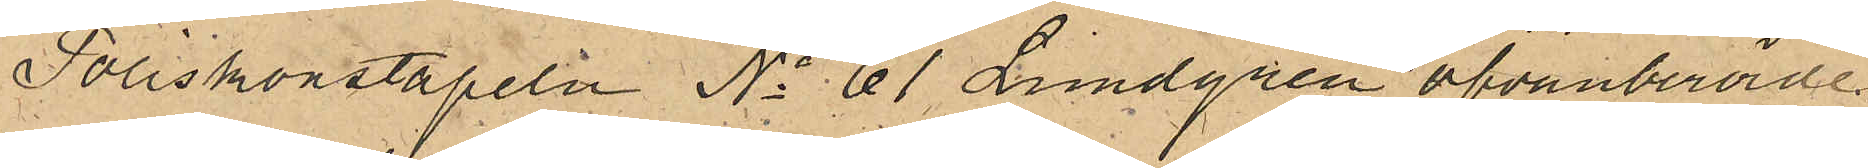Poliskonstapeln No 61 Lundgren ofvanberörde
